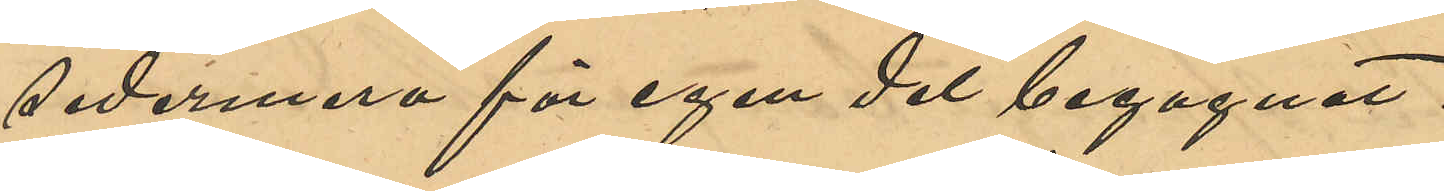sedermera för egen del begagnat.
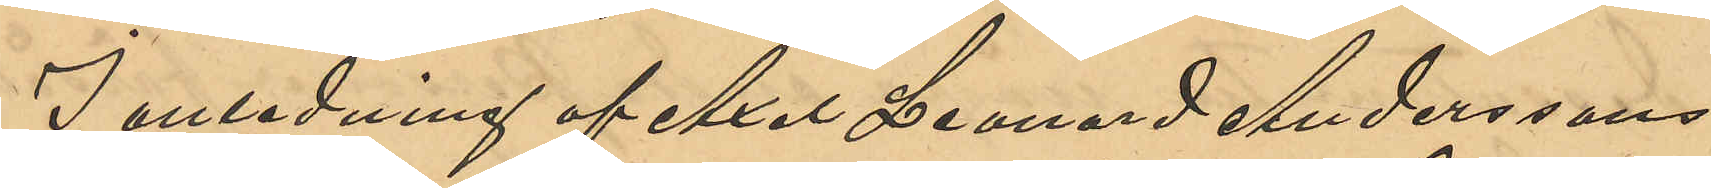I anledning af Axel Leonard Anderssons
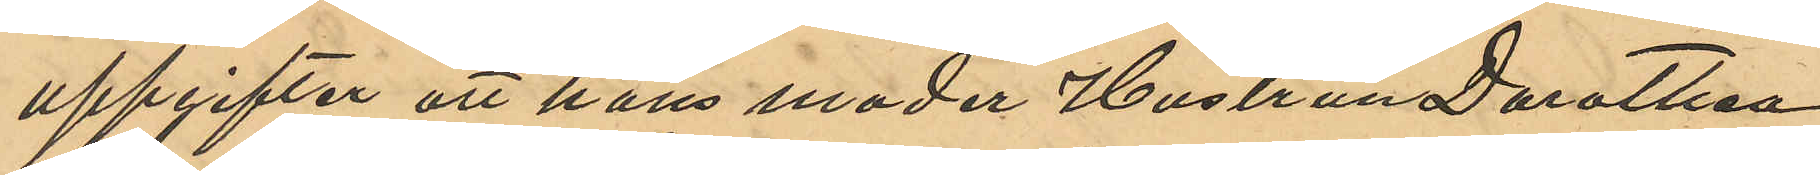uppgifter att hans moder Hustrun Dorothea
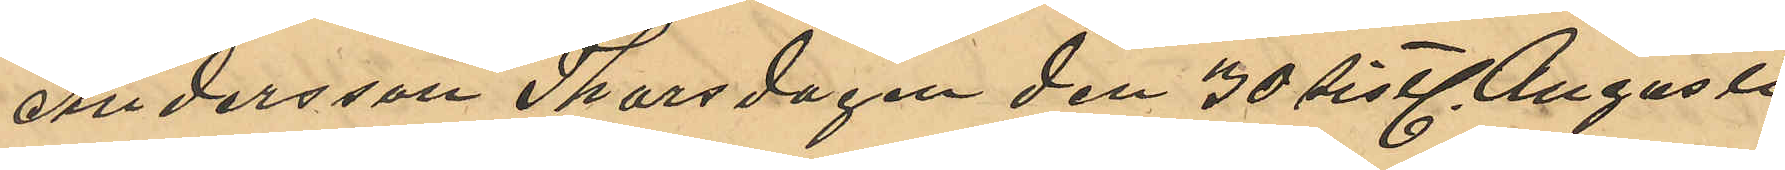Andersson Thorsdagen den 30 sistl. Augusti
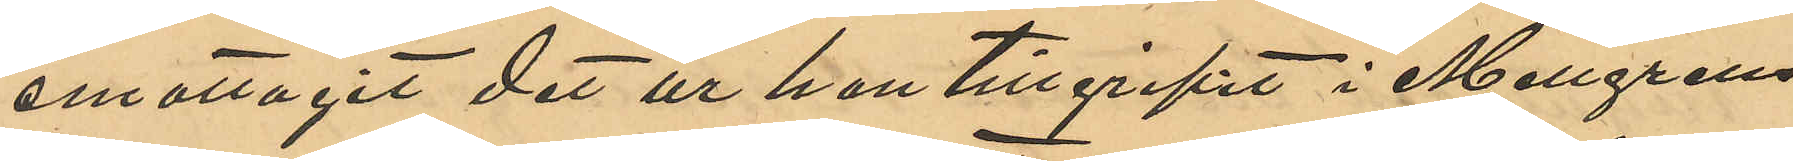emottagit det ur han tillgripit i Mellgrens
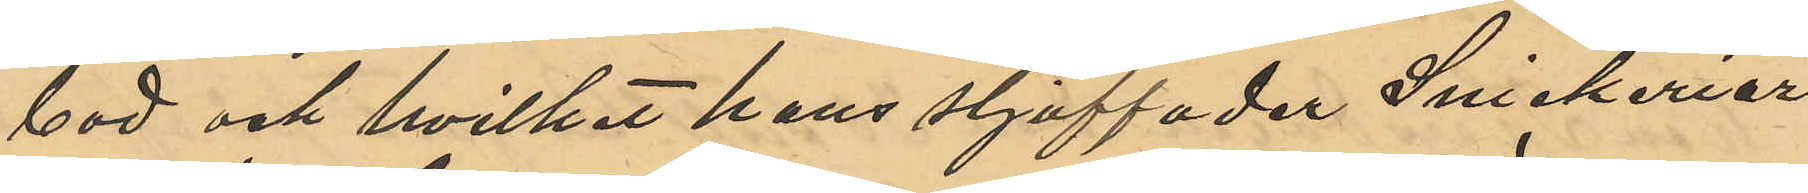bod och hvilket hans stjuffader Snickeriar¬
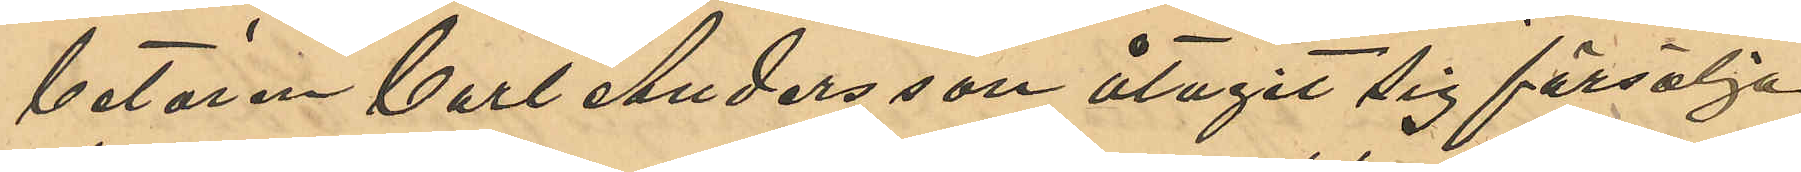betaren Carl Andersson åtagit sig försälja,
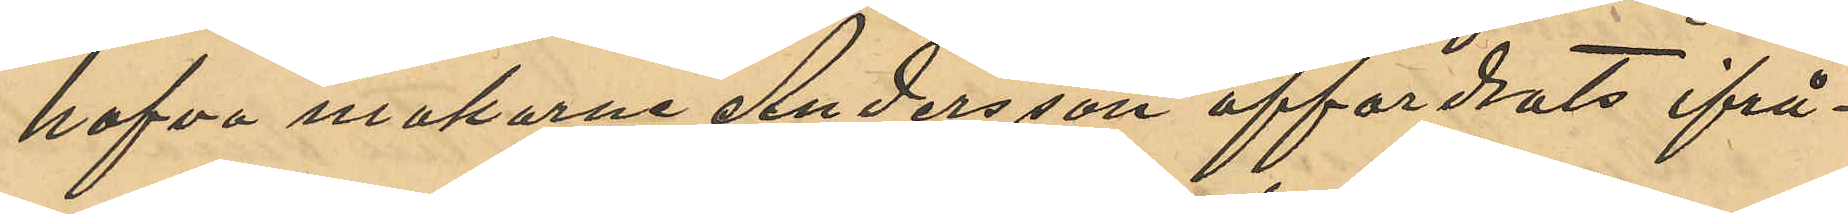hafva makarne Andersson affordrats ifrå¬
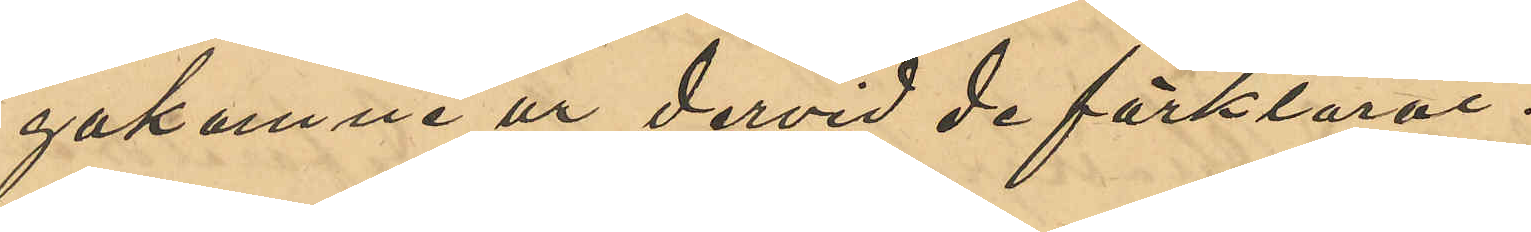gakomne ur dervid förklarat:
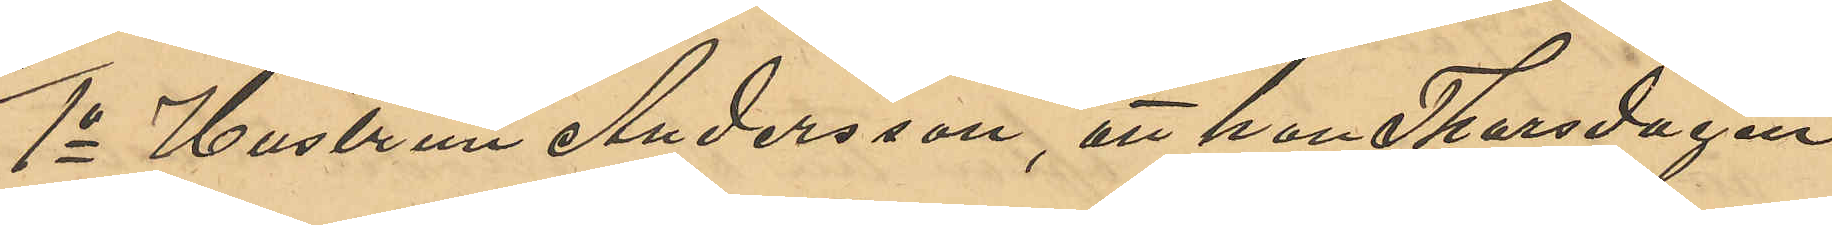1o Hustrun Andersson, att hon Thorsdagen
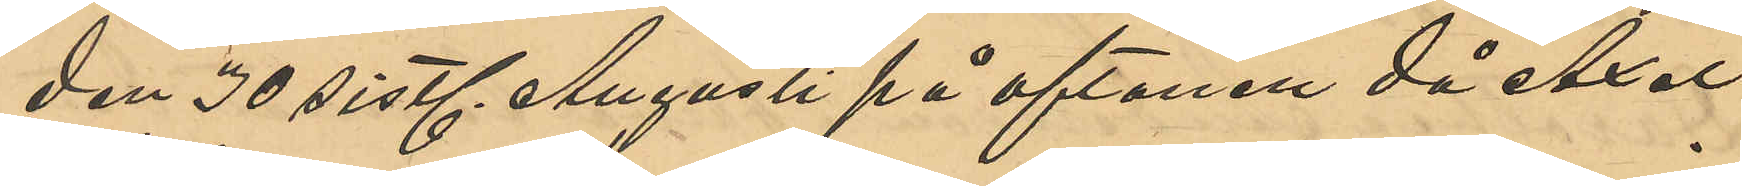den 30 sistl. Augusti på aftonen då Axel
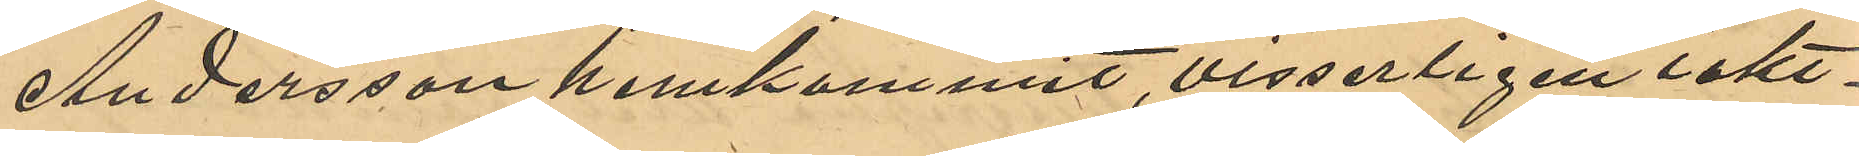Andersson hemkommit, visserligen iakt¬
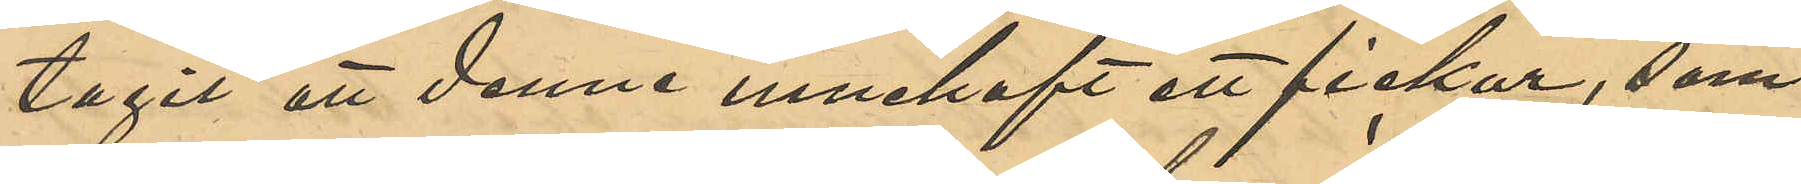tagit att denne innehaft ett fickur, som
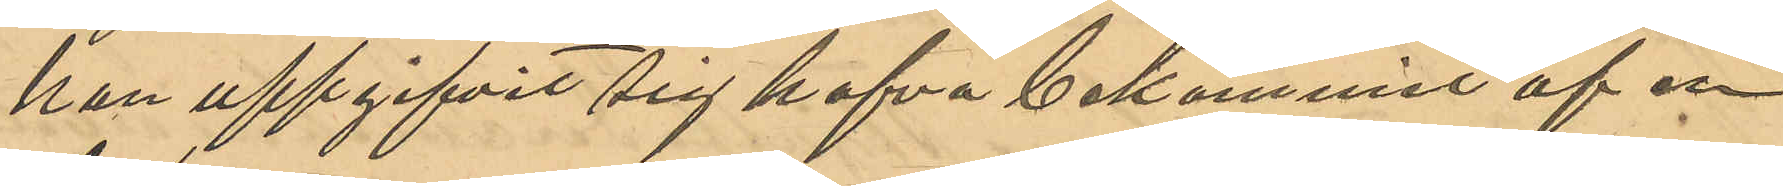han uppgifvit sig hafva bekommit af en
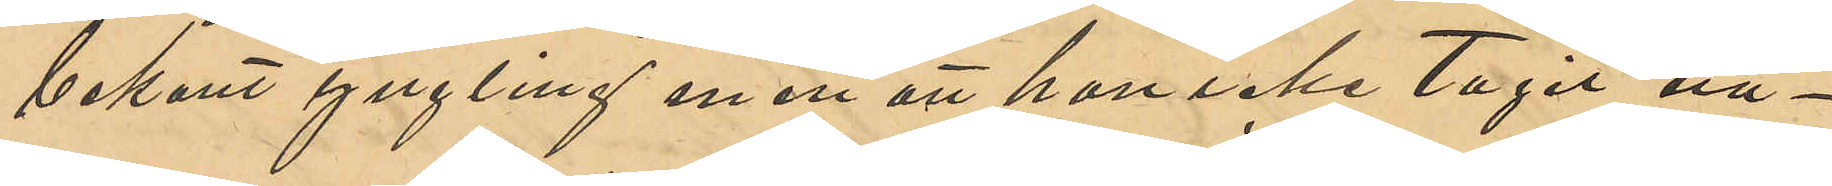bekant yngling, men att hon icke tagit nå¬
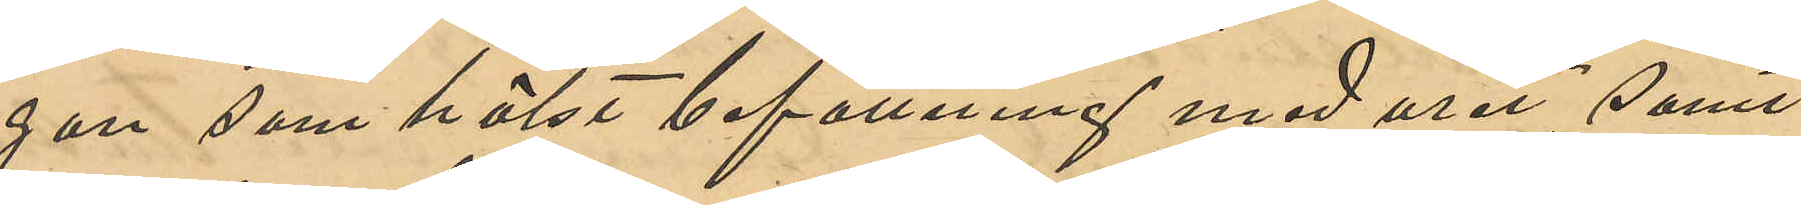gon som helst befattning med uret, samt
